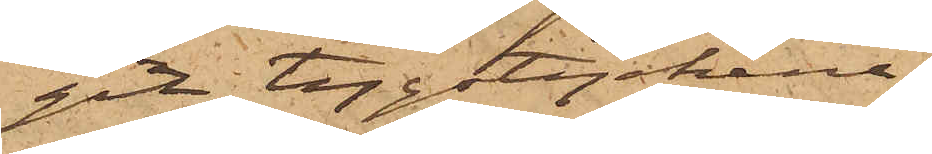git tygstyckena,
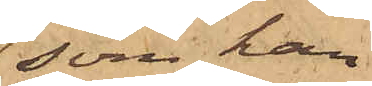som han
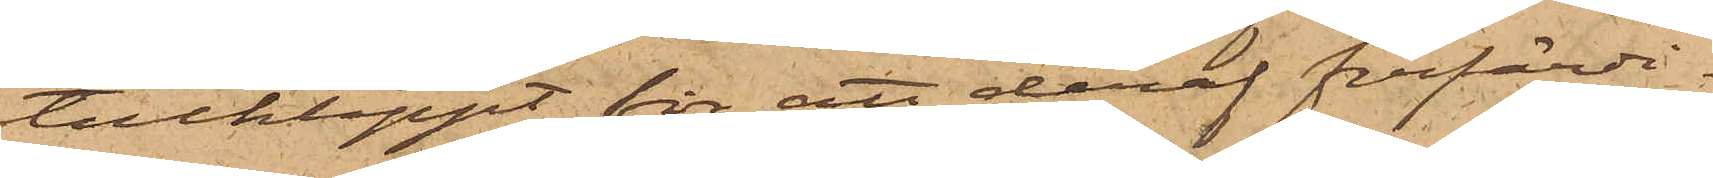tillklippt för att deraf förfärdi¬
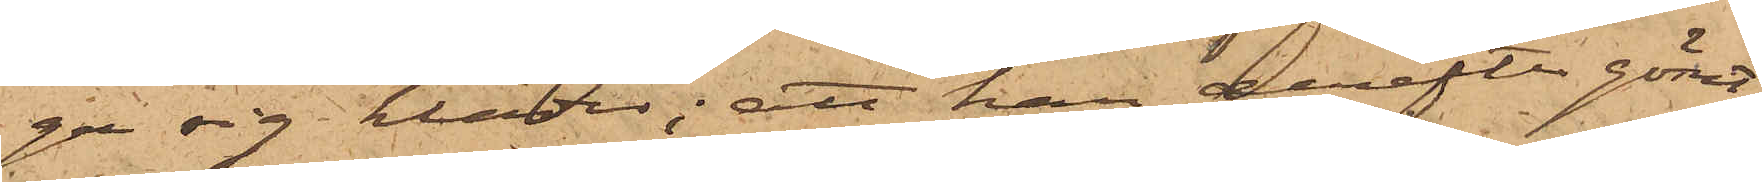ga sig kläder; att han derefter gömt
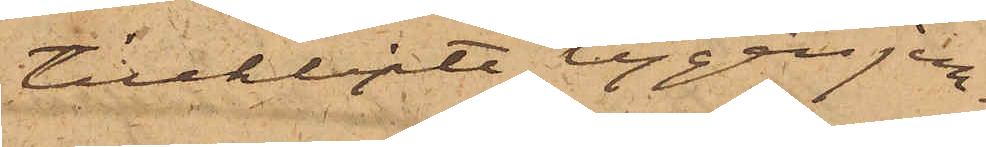tillklippte tygen jem¬
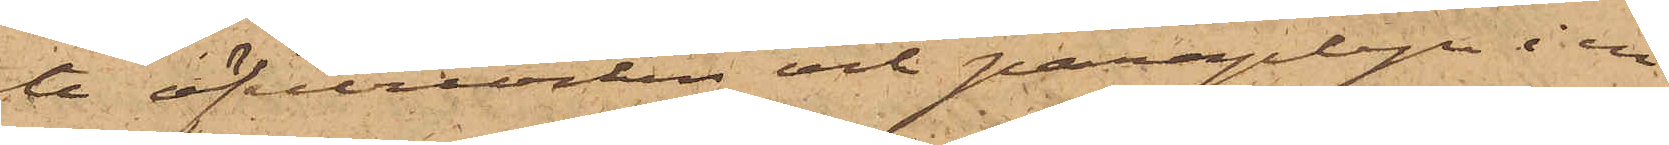te öfverrocken och paraplyn i en
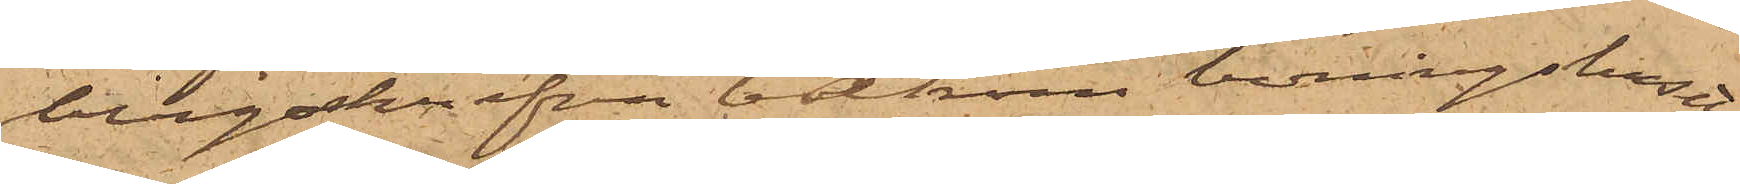bergsskrefva bakom boningshuset;
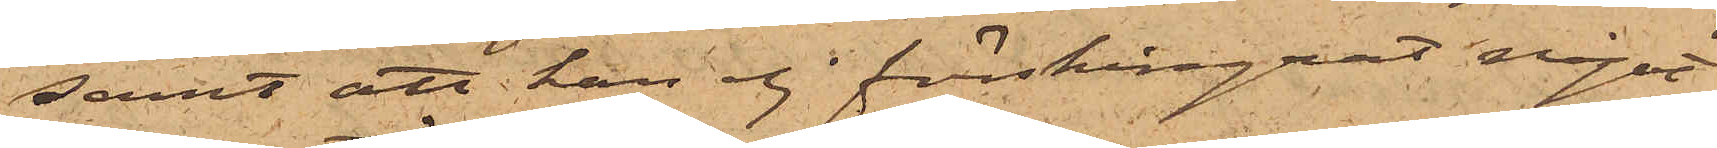samt att han ej förskingrat något
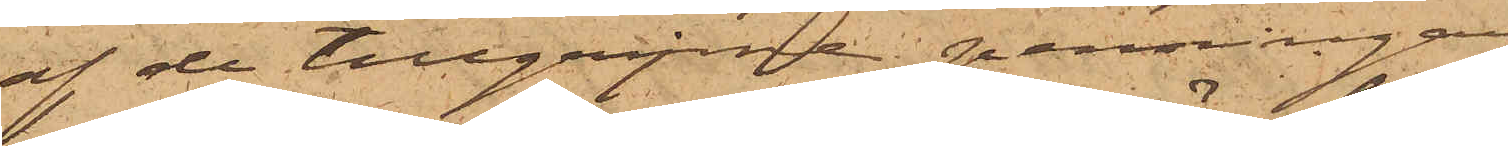af de tillgripne penningar,
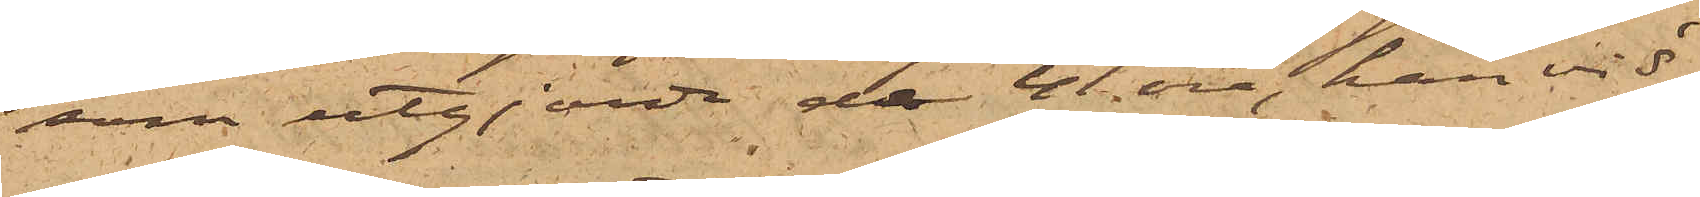som utgjorde de 41 öre, han vid
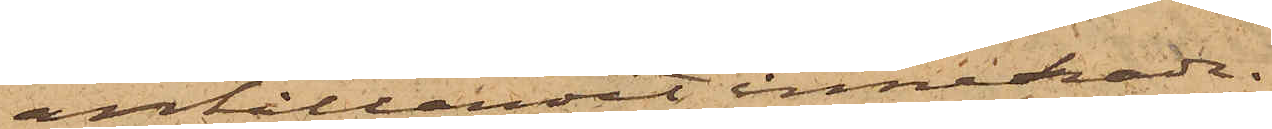anhållandet innehade.
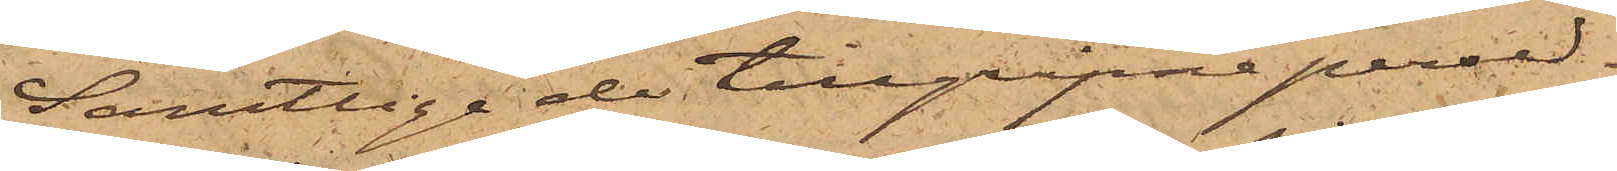Samtlige de tillgripne persed¬
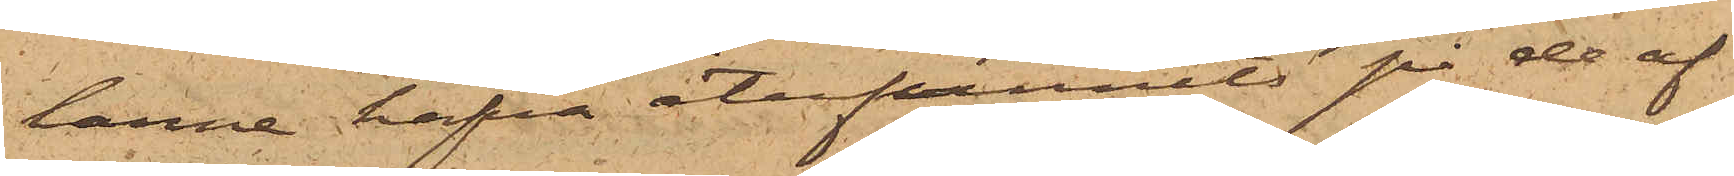larne hafva återfunnits på de af
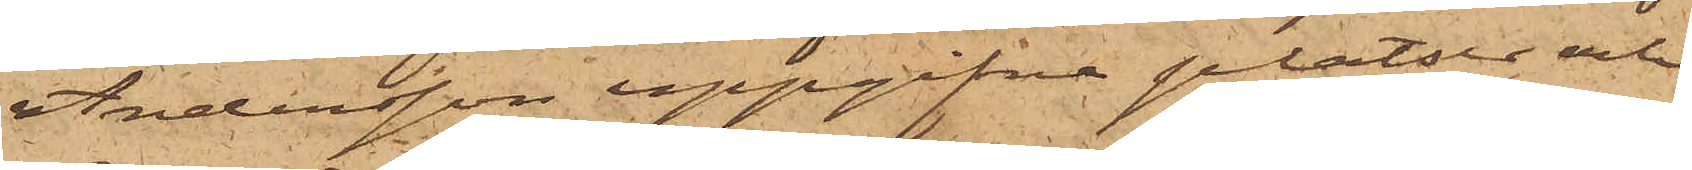Andersson uppgifna platser och
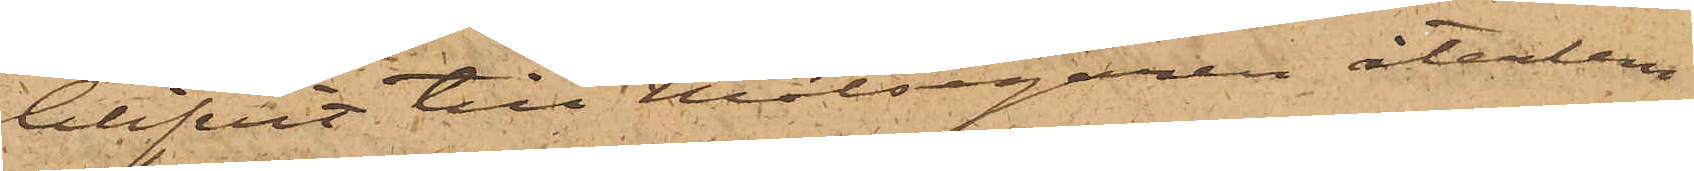blifvit till Målsegaren återlem¬
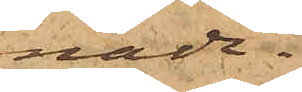nade.
